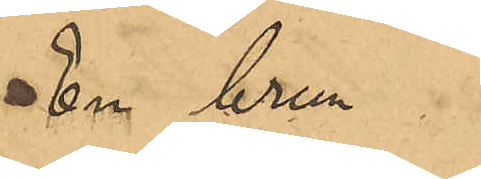En brun
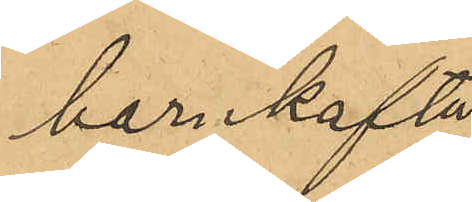barnkofta
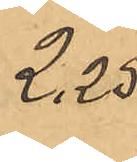2,25
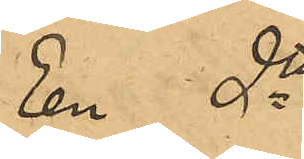En dto
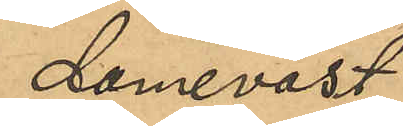dameväst
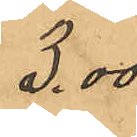3,00
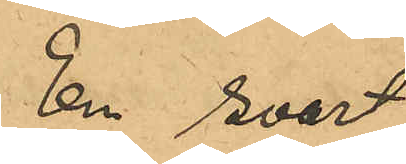En svart
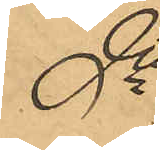dto
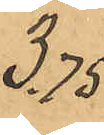3,75
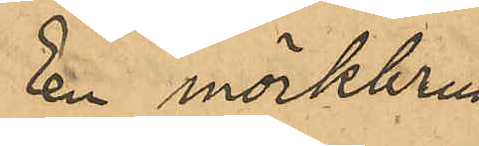En mörkbrun
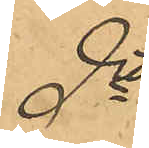dto
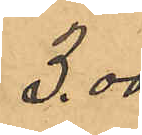3,00
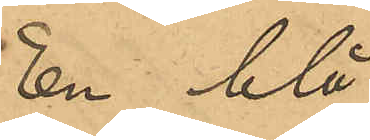En blå
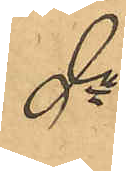dto
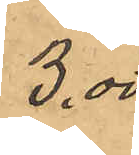3,00
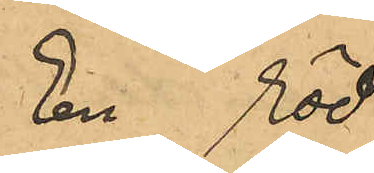En röd
